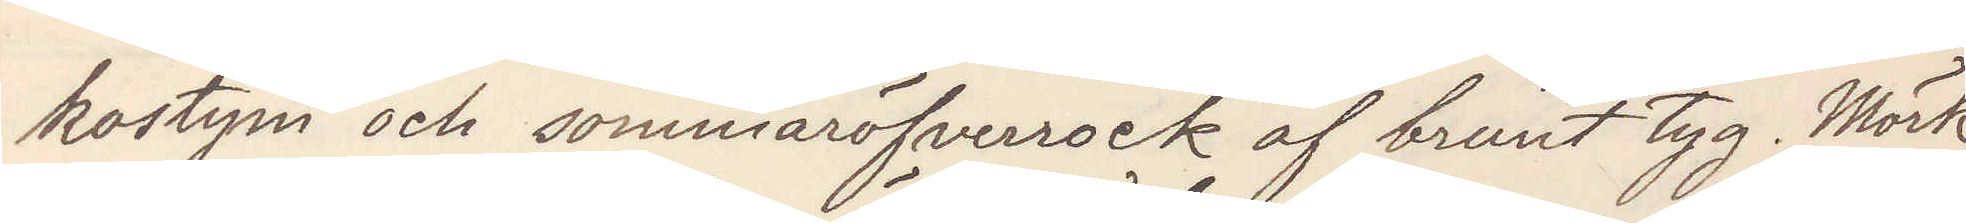kostym och sommaröfverrock af brunt tyg. Mörk
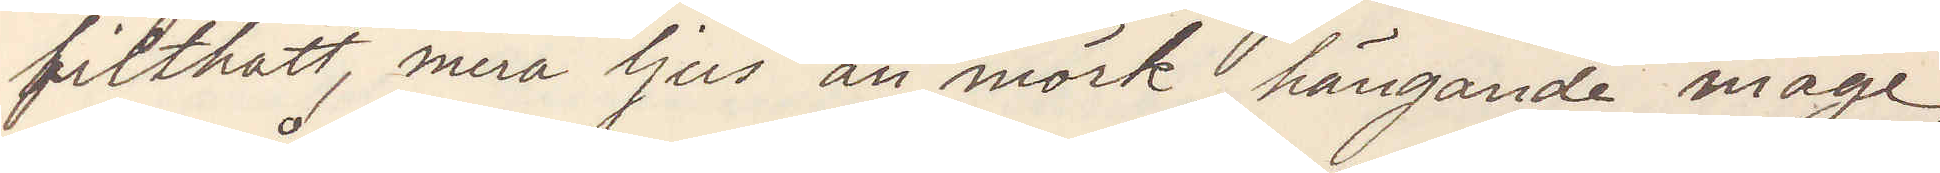filthatt, mera ljus än mörk, hängande mage,
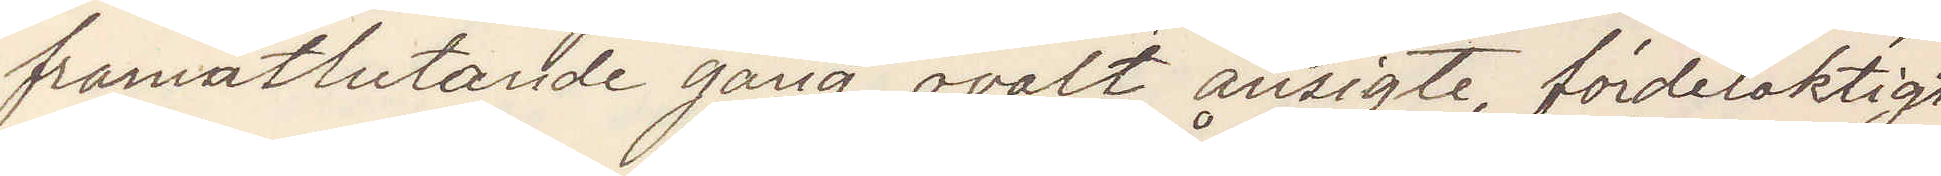framåtlutande gång, ovalt ansigte, fördelaktigt
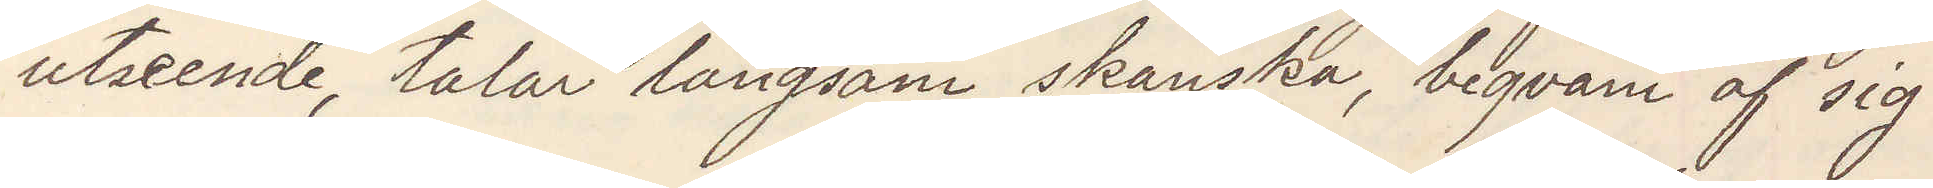utseende, talar långsam skånska, beqväm af sig.
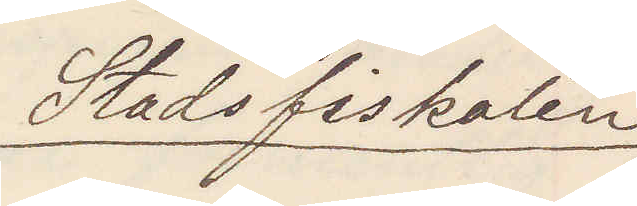Stadsfiskalen
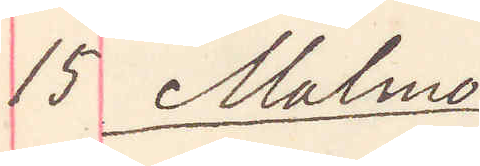15 Malmö
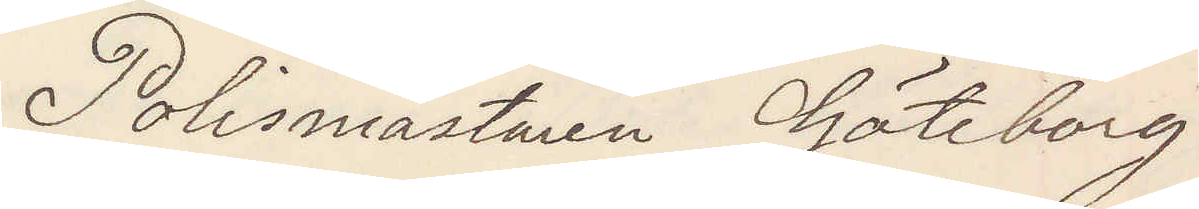Polismästaren Göteborg
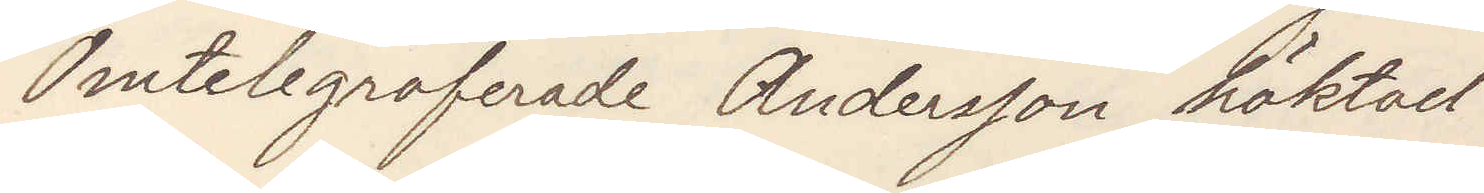Omtelegraferade Andersson häktad.
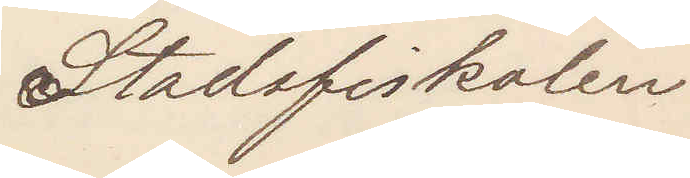Stadsfiskalen
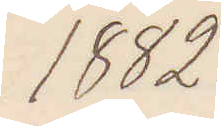1882
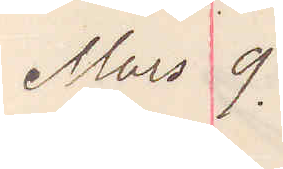Mars 9.
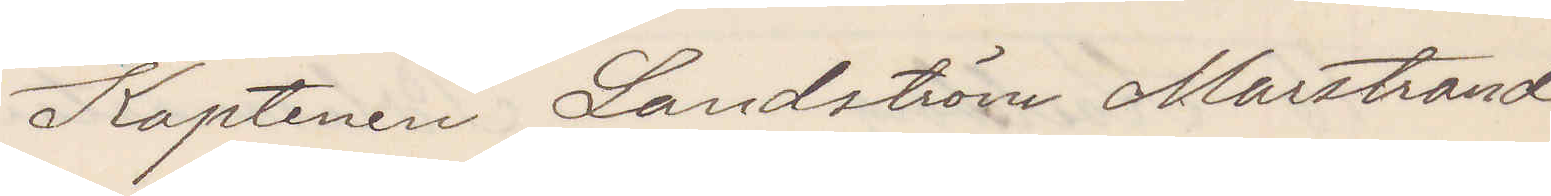Kaptenen Landström Marstrand
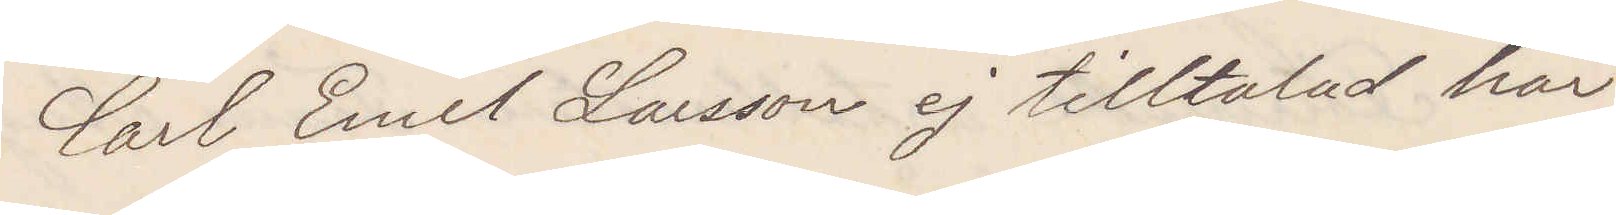Carl Emil Larsson ej tilltalad här.
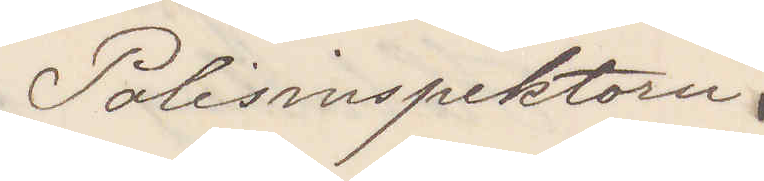Polisinspektorn
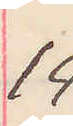14 
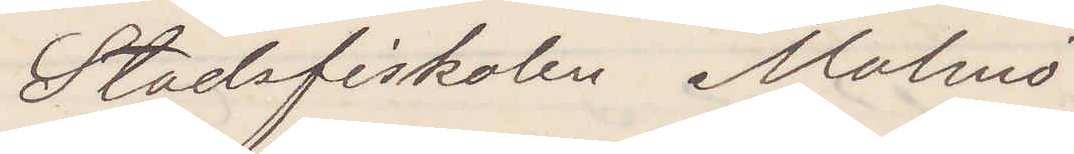Stadsfiskalen Malmö.
